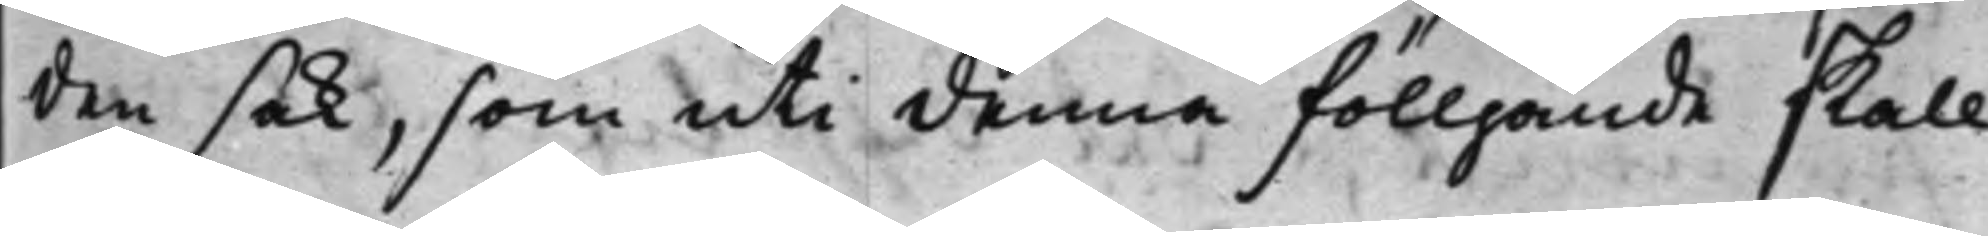den sak, som uti denna fölljande skall
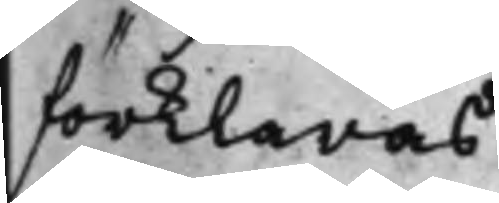förklaras.
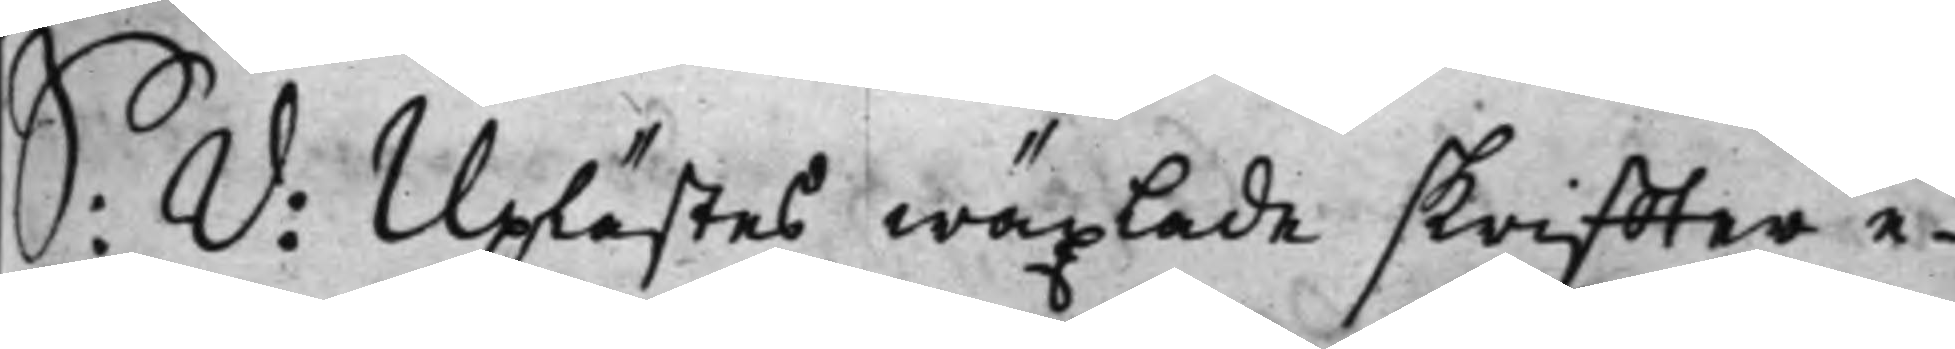S: D: Uplästes wäxlade skriffter e¬
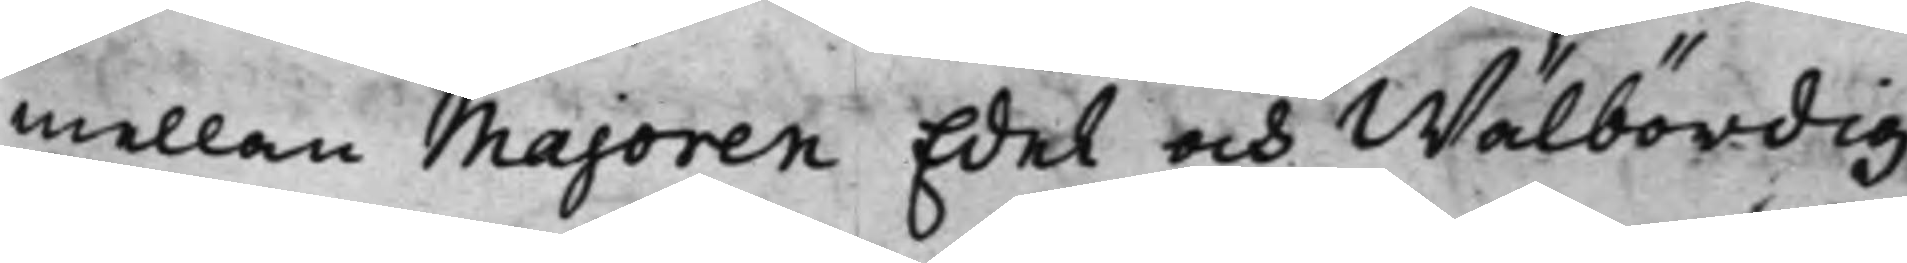mellan Majoren Edel och Wälbördig
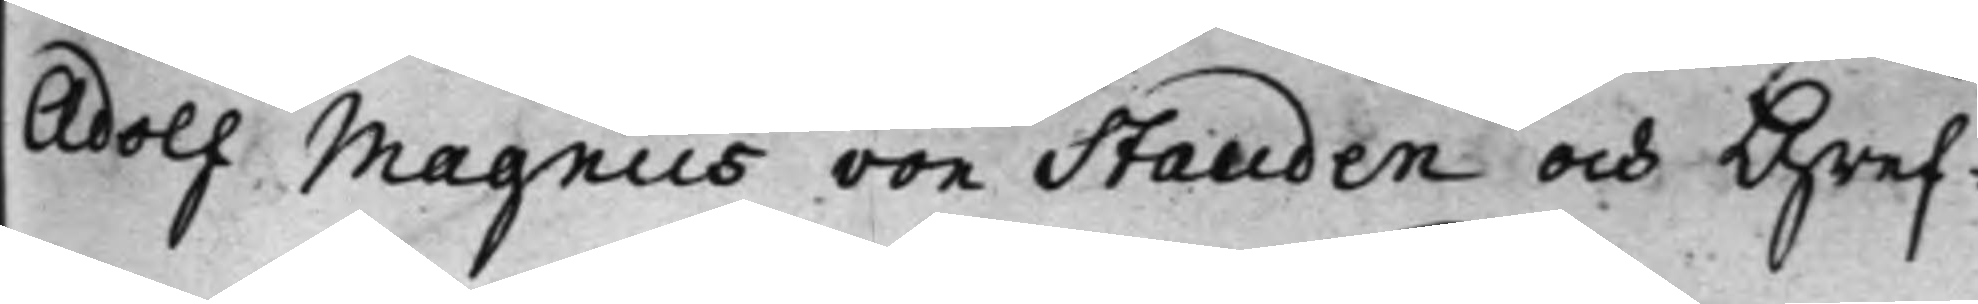Adolf Magnus von Stauden och Gref¬
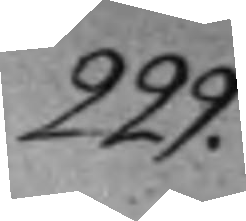229.
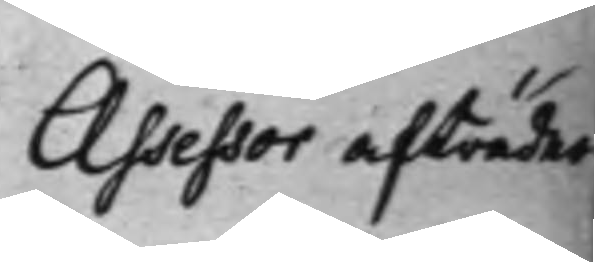Assessor afträder
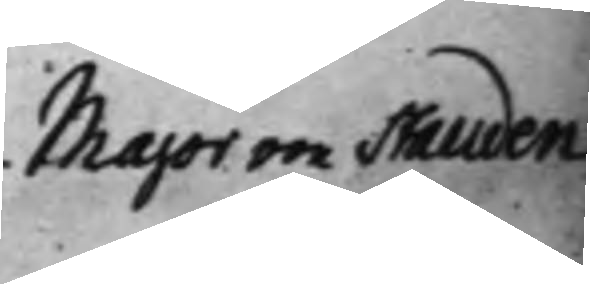Majoren Stauden
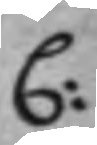C:
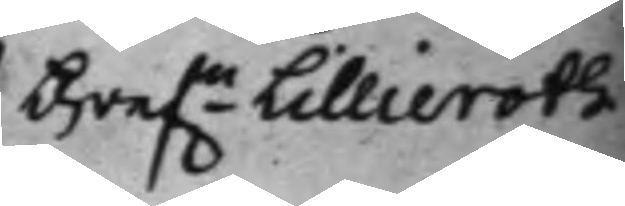Gref.n Lillieroth
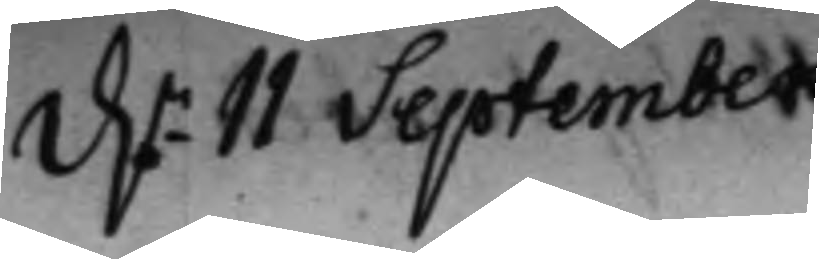d.n 11 September
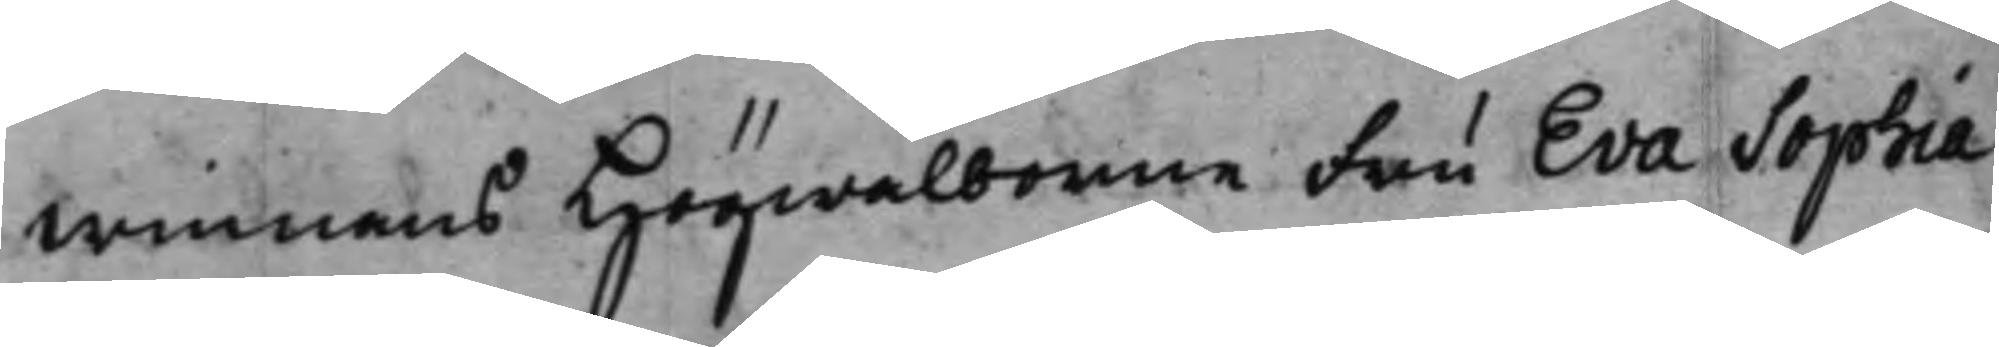winnans Högwälborne fru Eva Sophia
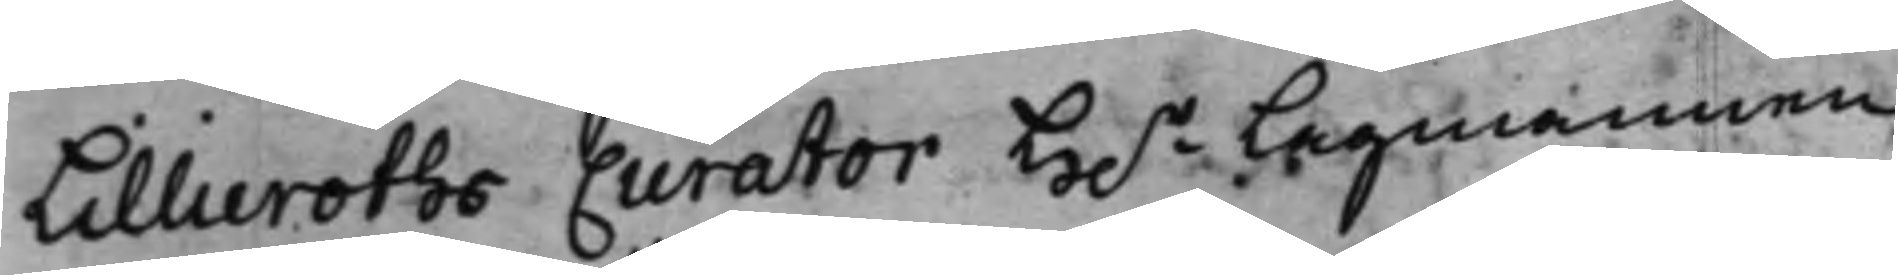Lillieroths Curator H.r Lagmannen
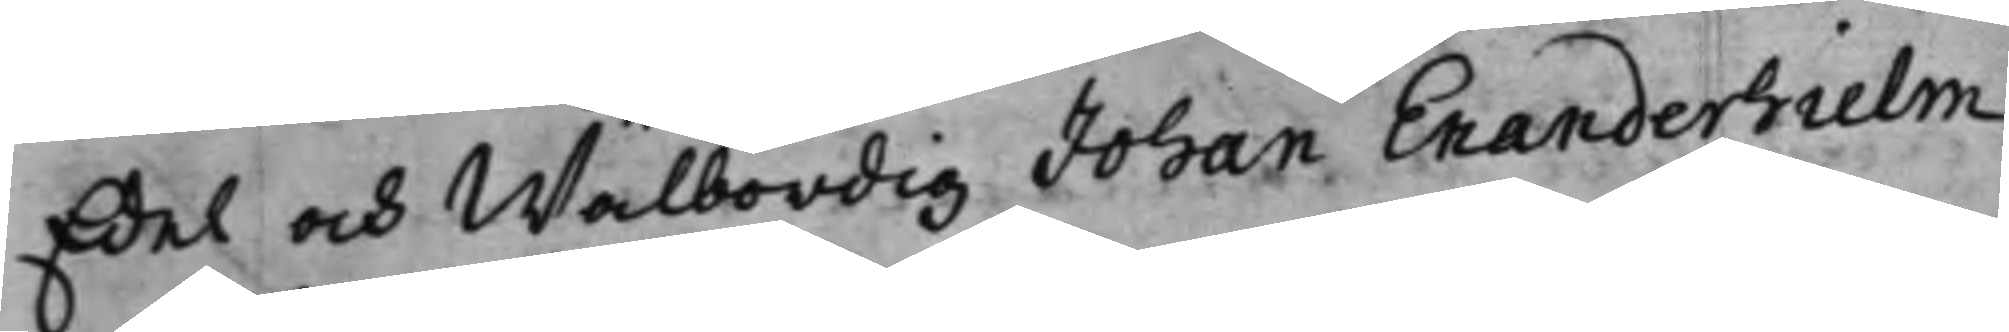Edel och Wälbördig Johan Enanderhielm
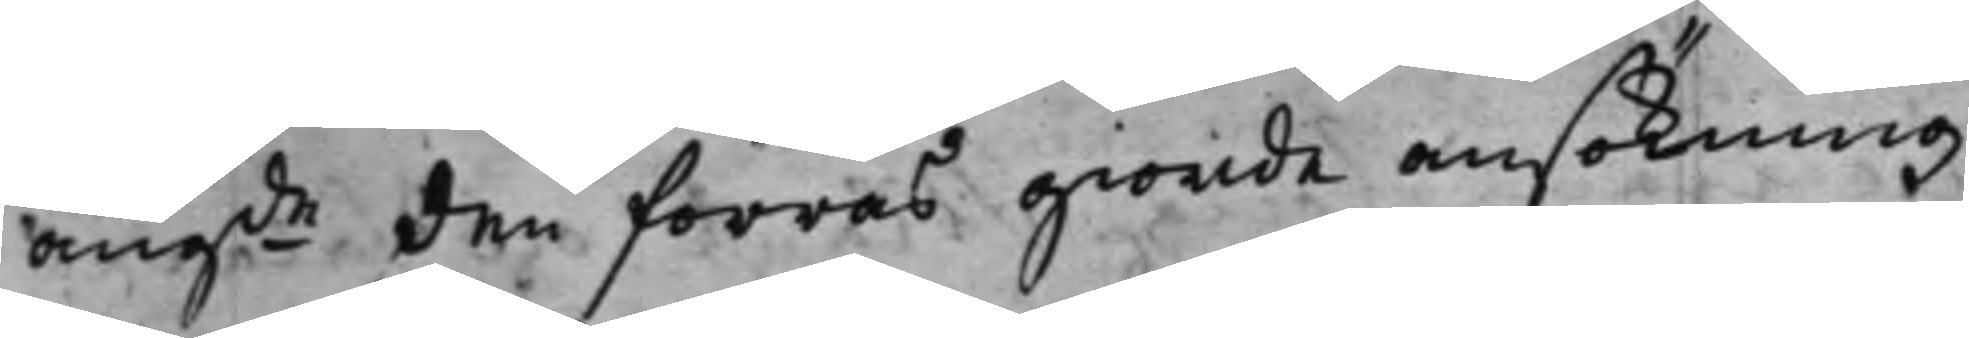angde den förras giorde ansökning
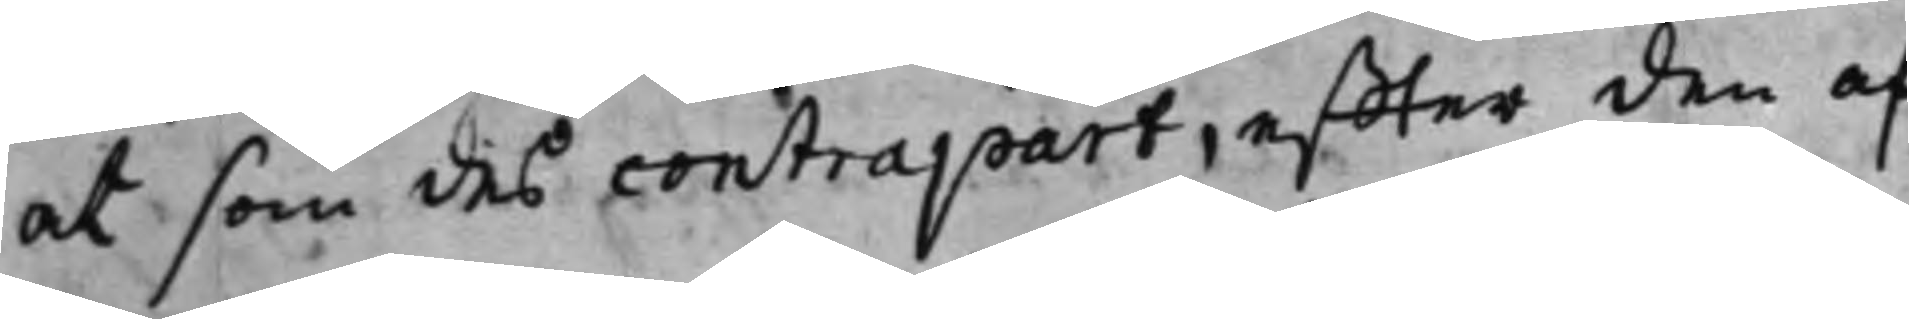at som des contrapart, effter den af
